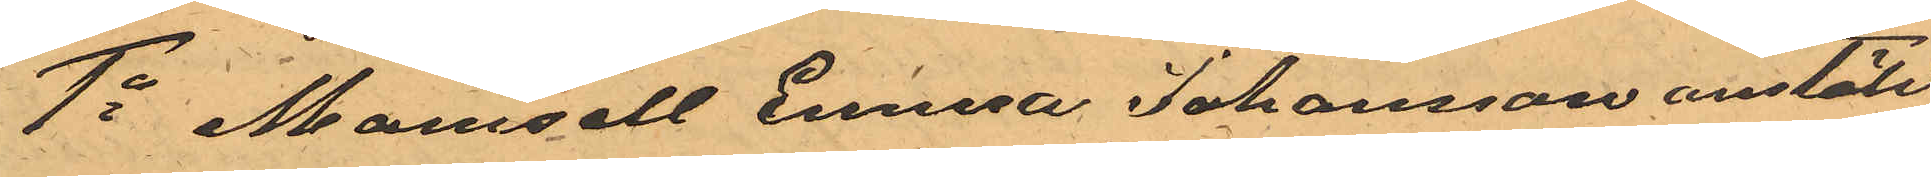1o Mamsell Emma Johansson anstäld
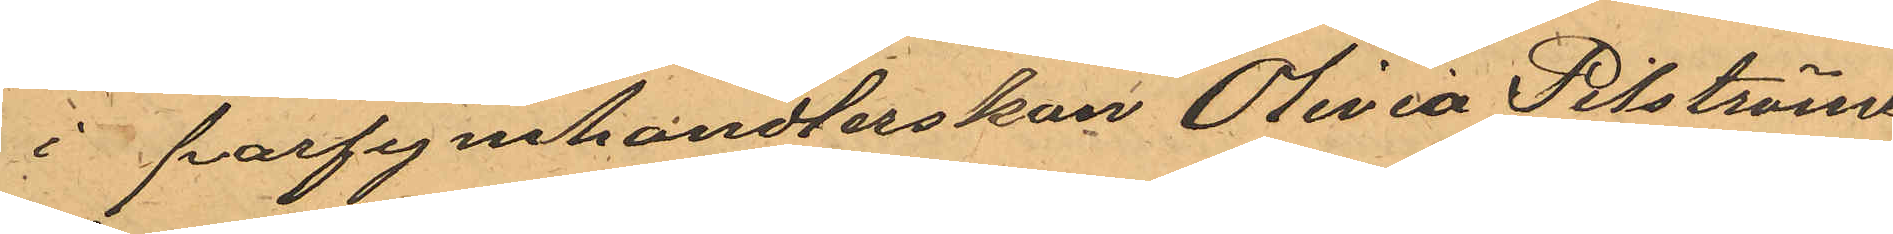i parfymhandlerskan Olivia Pilströms
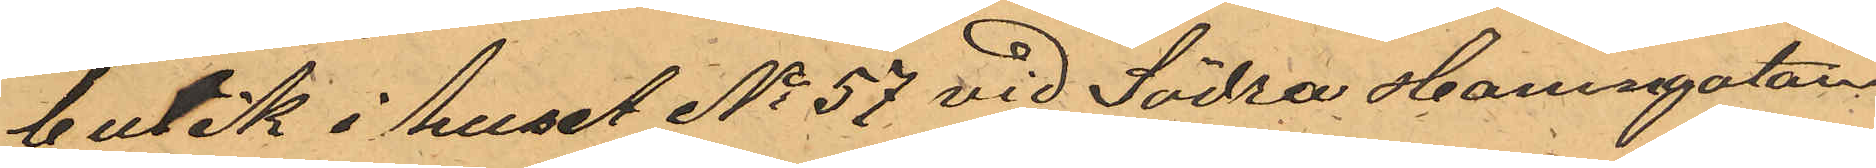butik i huset No 57 vid Södra Hamngatan,
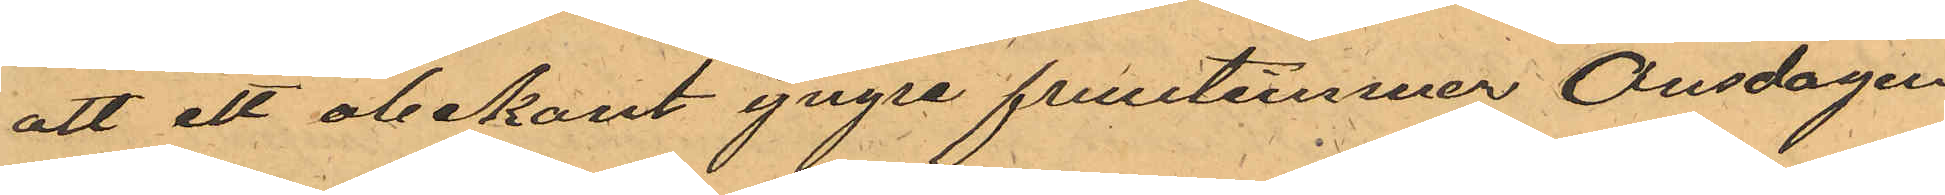att ett obekant yngre fruntimmer Onsdagen
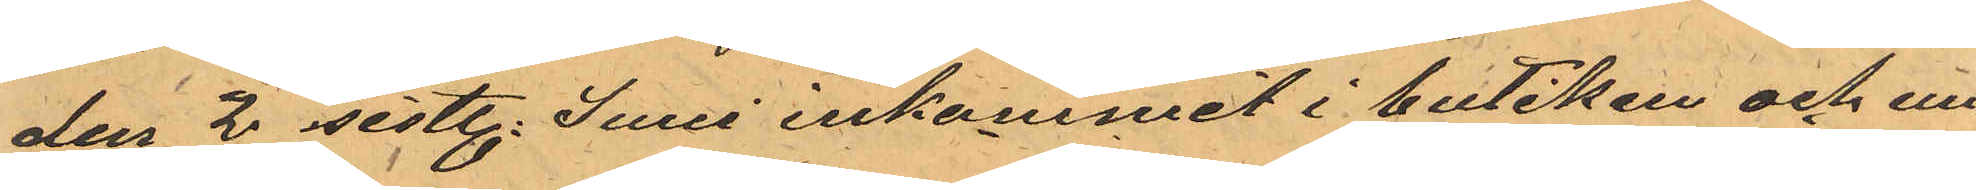den 2 sistl. Juni inkommit i butiken och un¬
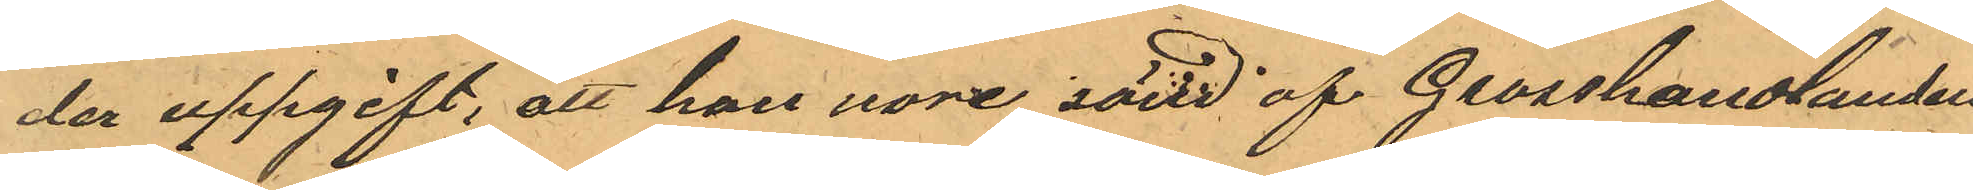der uppgift; att hon vore sänd af Grosshandlanden
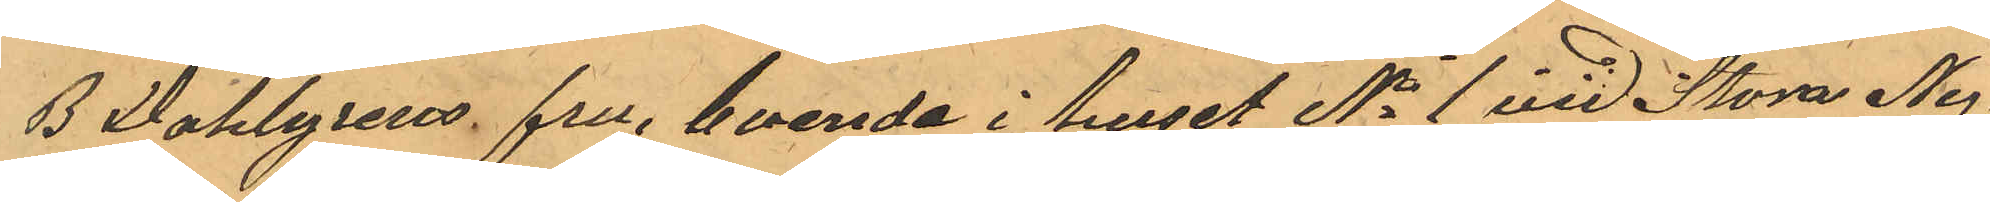B Dahlgrens fru, boende i huset No 1 vid Stora Ny¬
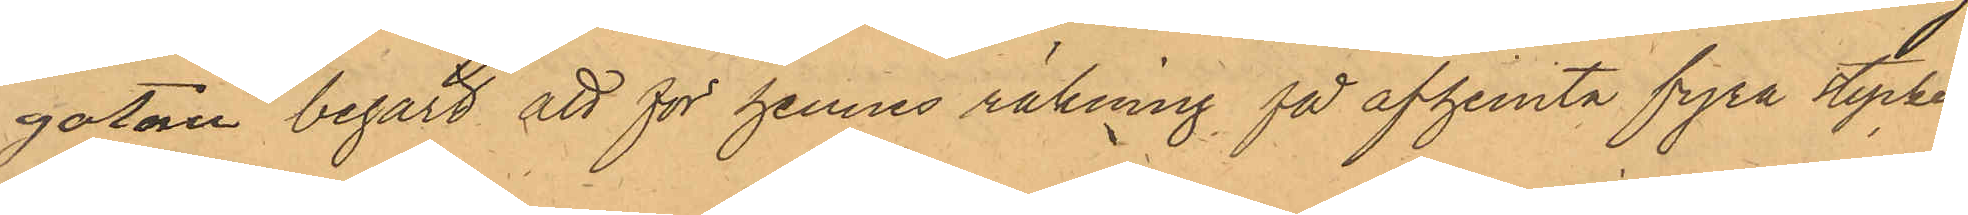gatan begärt att för hennes räkning få afhemta fyra stycken
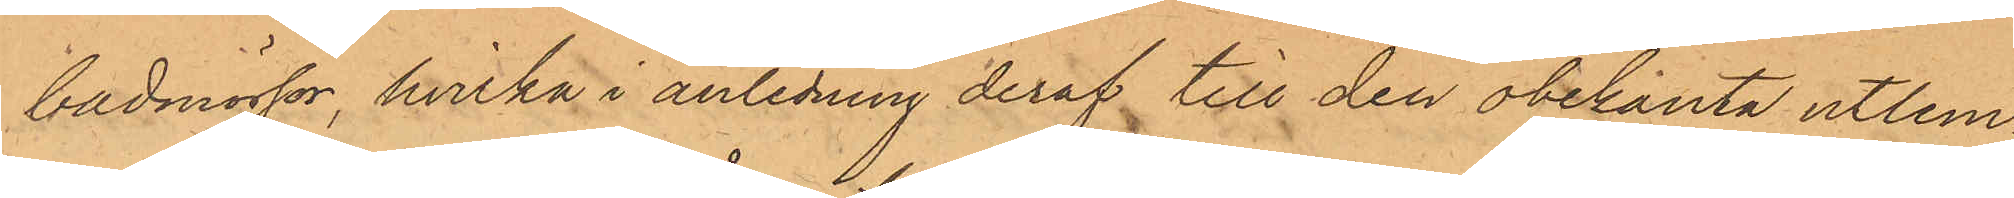badmössor, hvilka i anledning deraf till den obekanta utlem¬
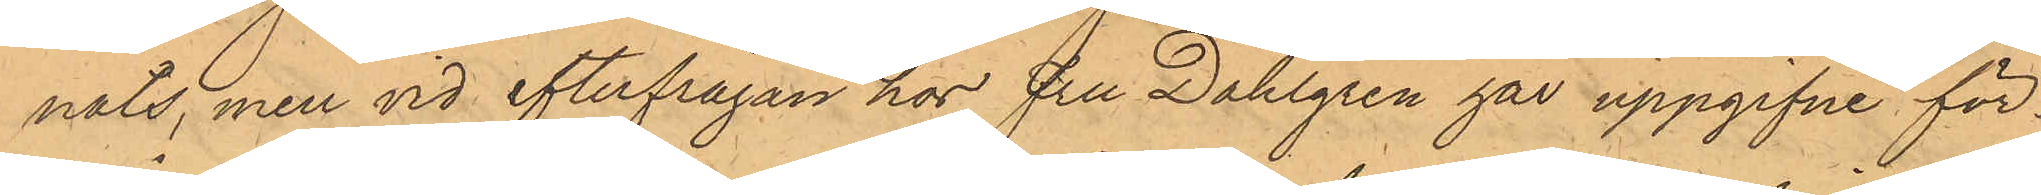nats, men vid efterfrågan hos fru Dahlgren har uppgifne för¬
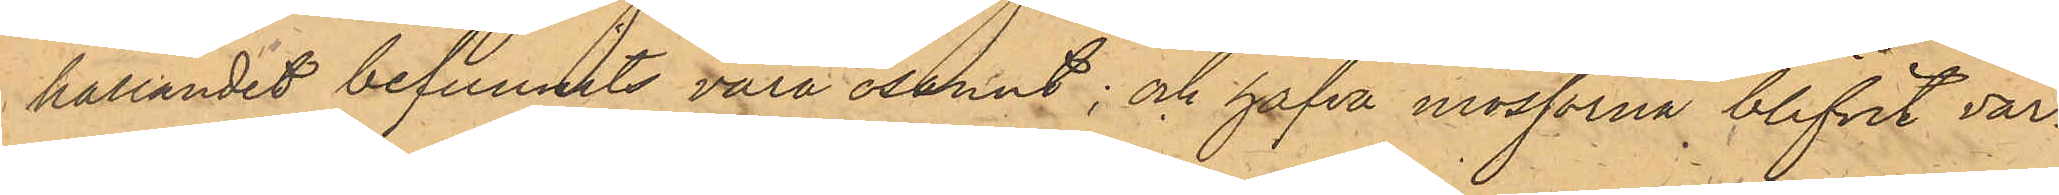hållandet befunnits vara osannt; och hafva mössorna blifvit vär¬
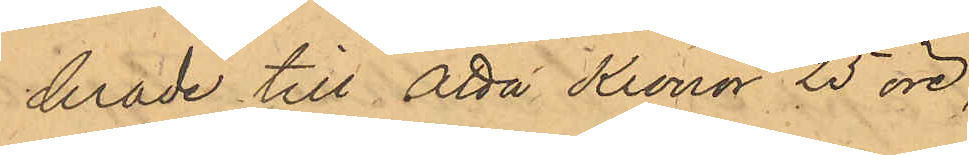derade till Åtta Kronor 25 öre;
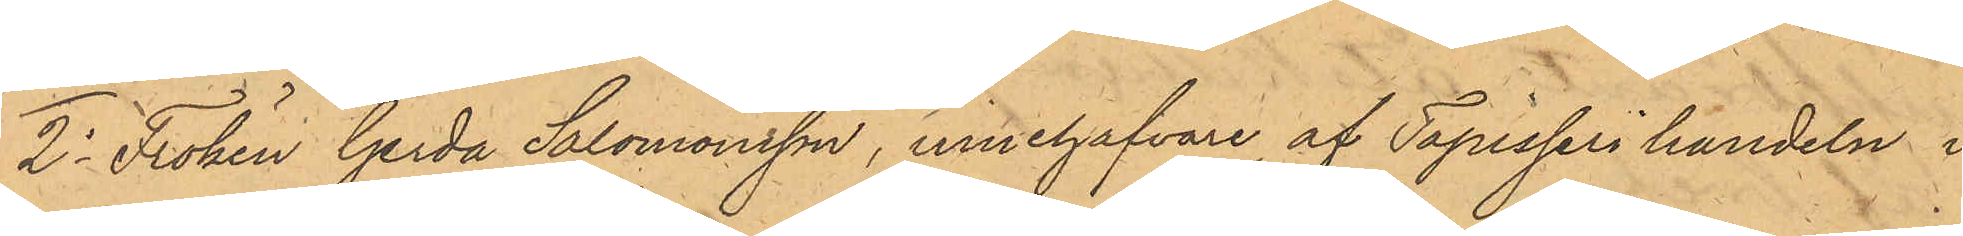2o Fröken Gerda Salomonsson, innehafvare af Tapisseri handeln i
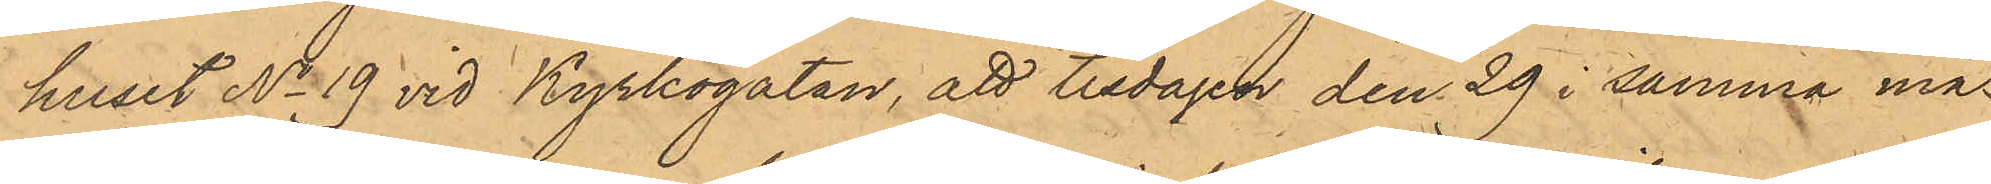huset No 19 vid Kyrkogatan, att tisdagen den 29 i samma må¬
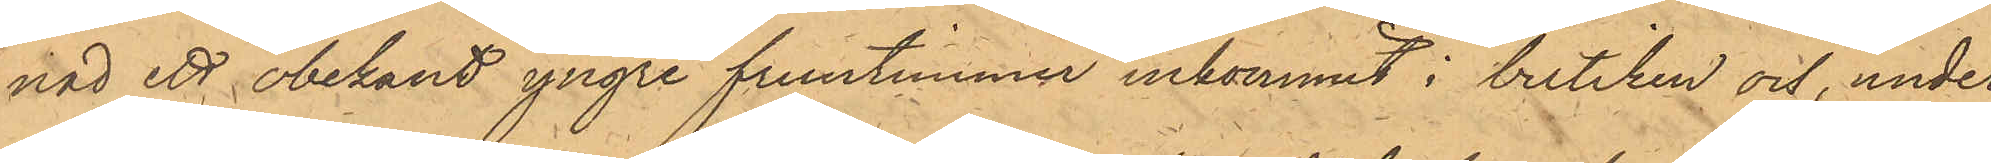nad ett obekant yngre fruntimmer inkommit i buutiken och, under
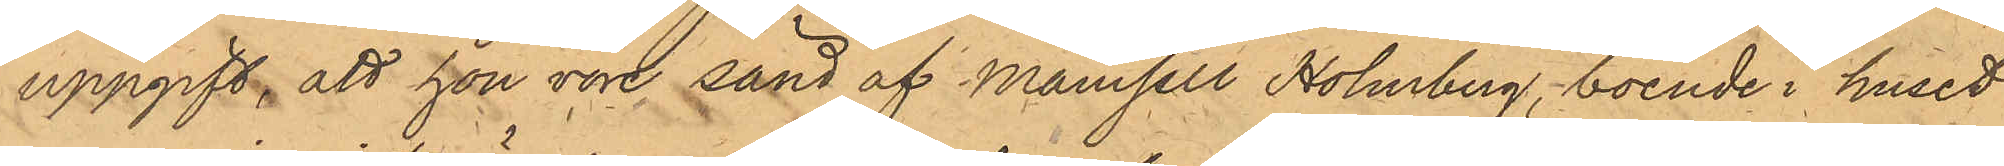uppgift, att hon vore sänd af Mamsell Holmberg, boende i huset
